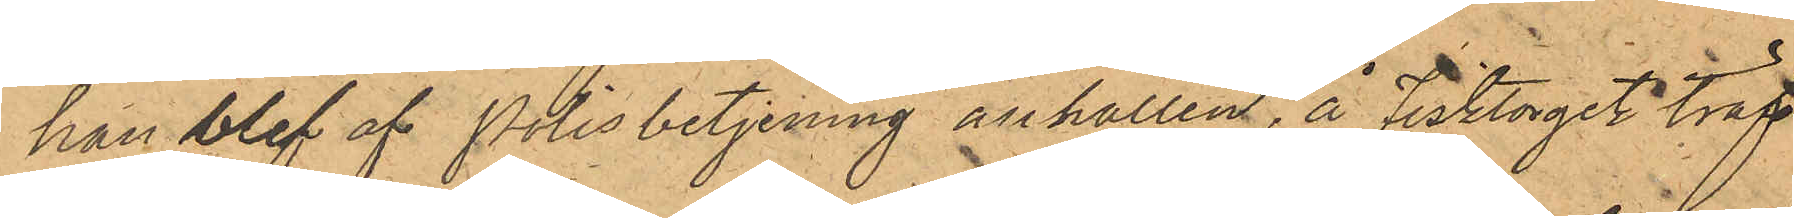han blef af Polisbetjening anhållen, å Fisktorget träf¬
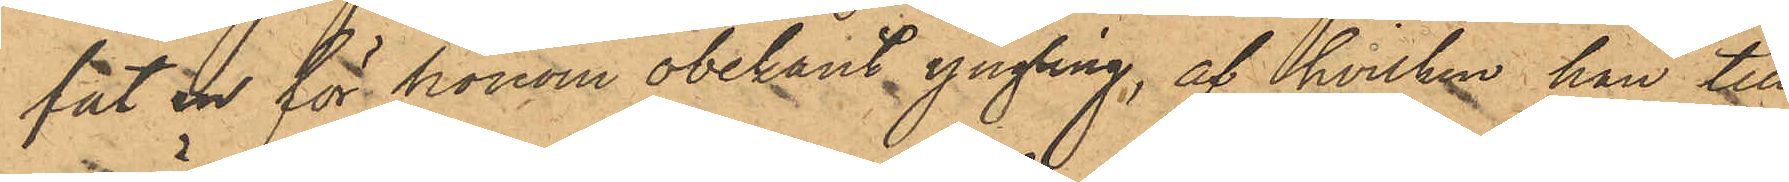fat en för honom obekant yngling, af hvilken han till
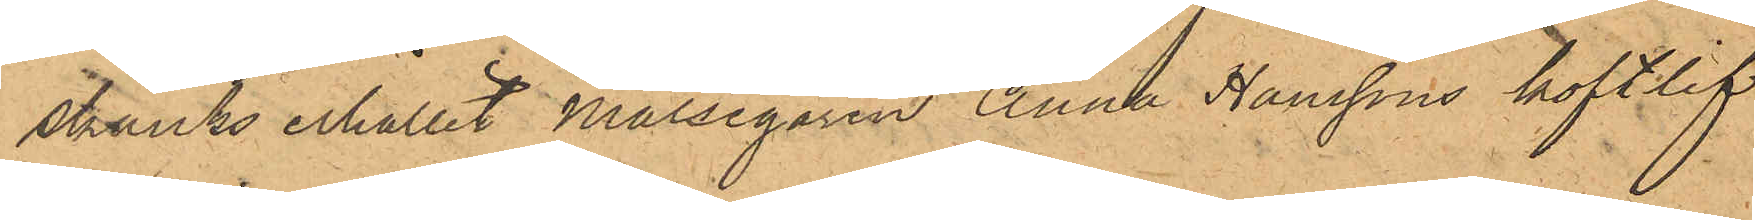skänks erhållit Målsegaren Anna Hanssons koftlif
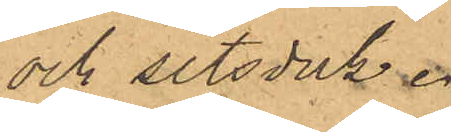och sitsduk.
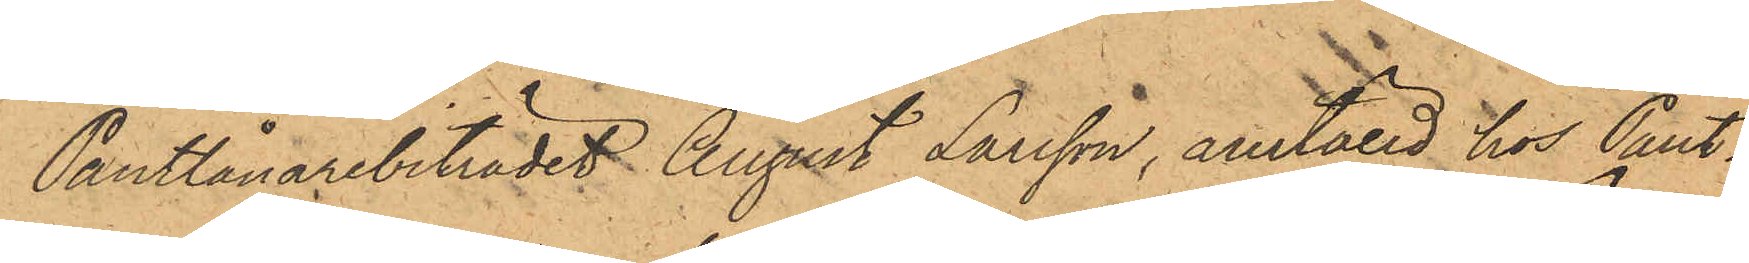Pantlånarebiträdet August Larsson, anställd hos Pant¬
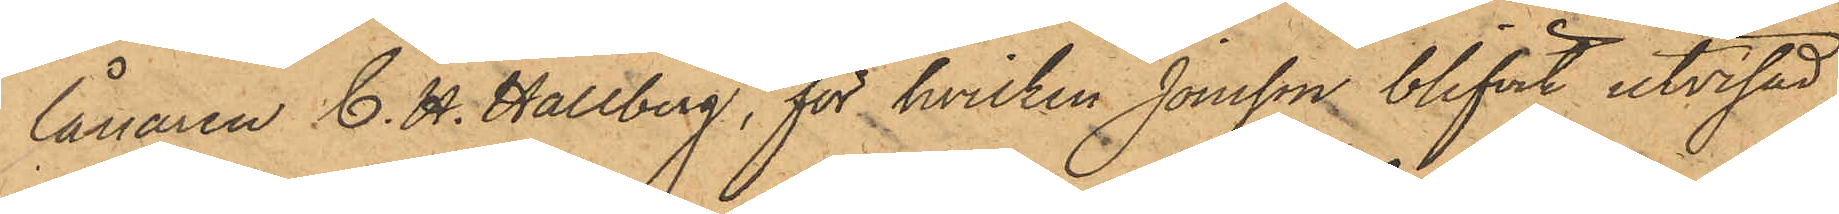lånaren C. H. Hallberg, för hvilken Jonsson blifvit utvisad,
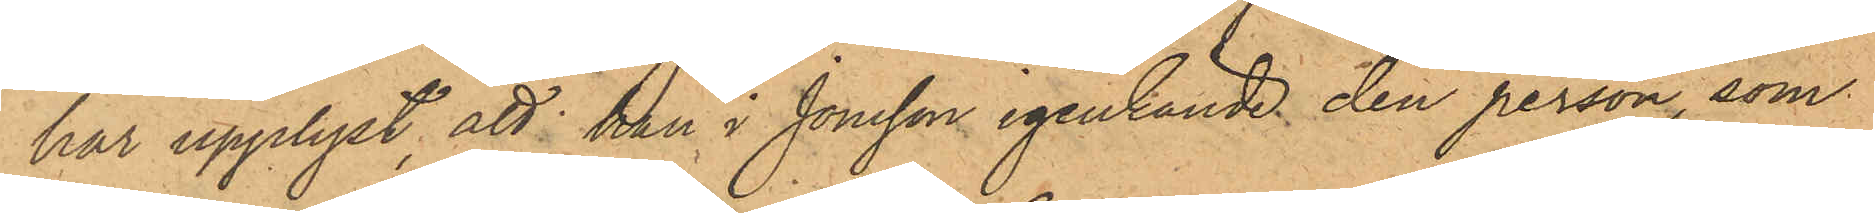har upplyst, att han i Jonsson igenkände den person, som
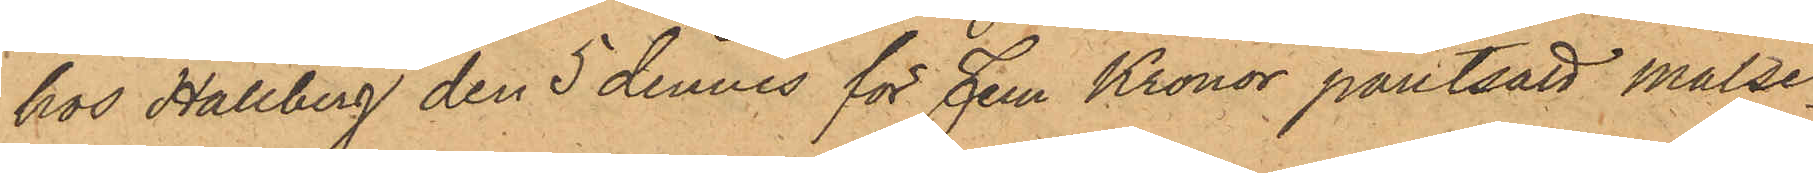hos Hallberg den 5 dennes för Fem Kronor pantsatt målse¬
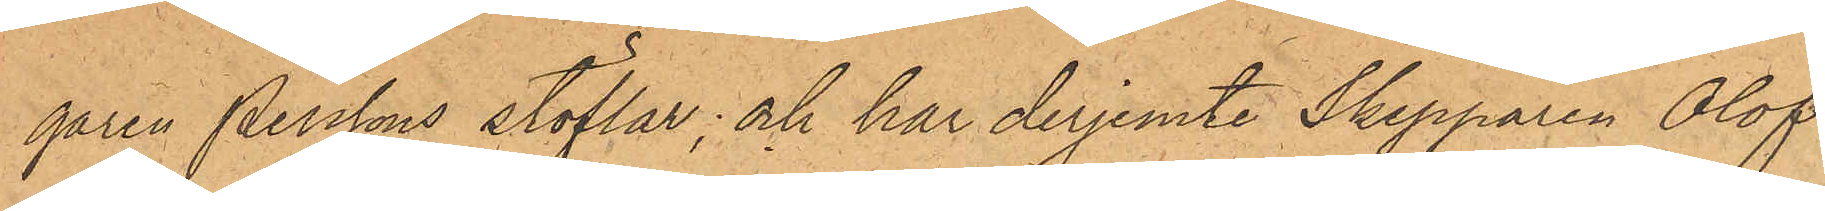garen Perssons stöflar; och har derjemte Skepparen Olof
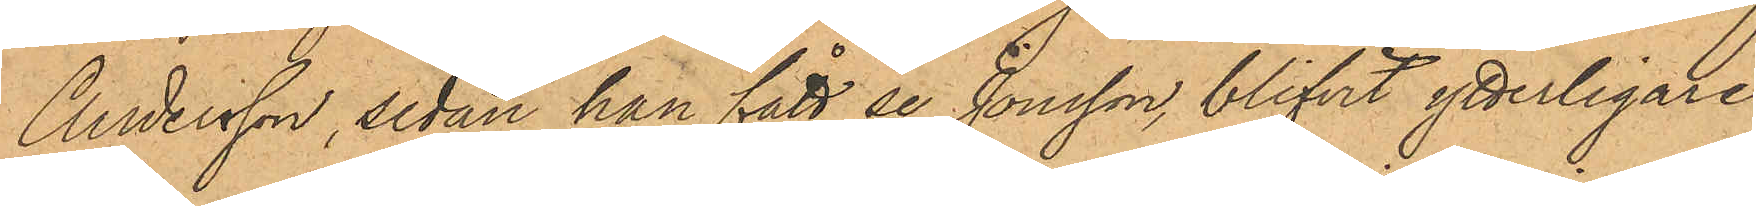Andersson, sedan han fått se Jonsson, blifvit ytterligare
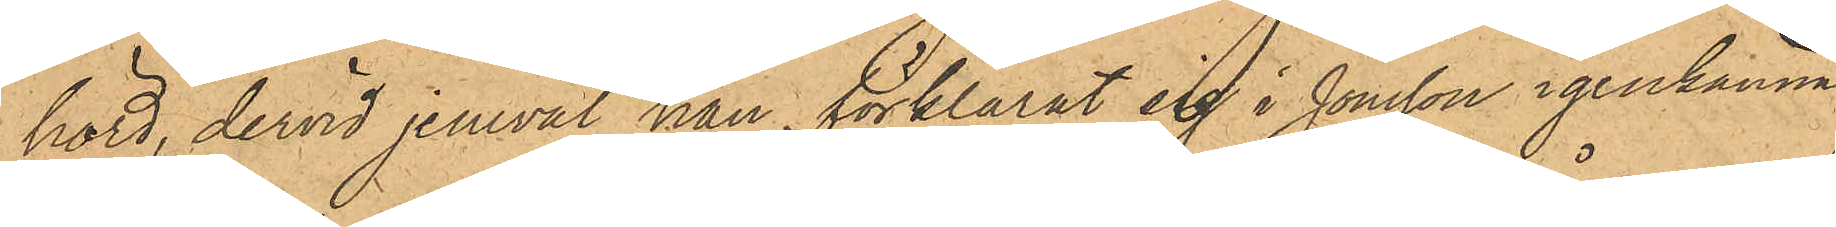hörd, dervid jemväl han förklarat sig i Jonsson igenkänna
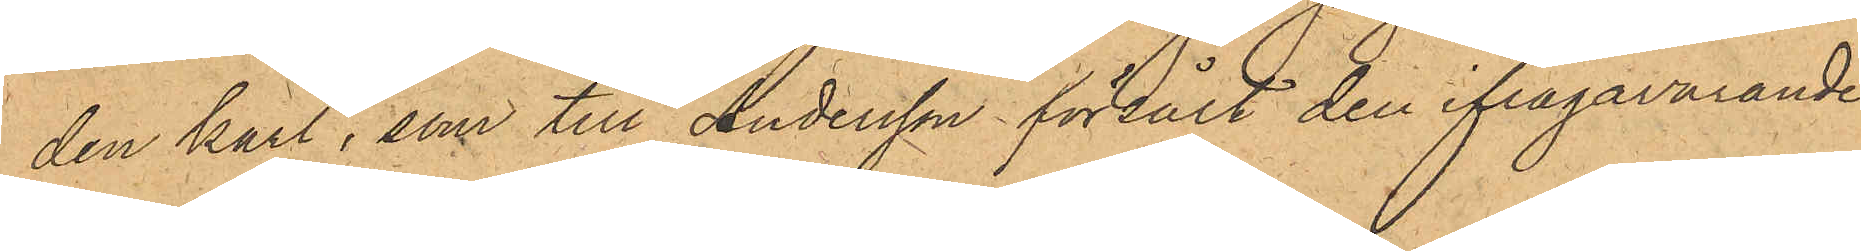den karl, som till Andersson försålt den ifrågavarande
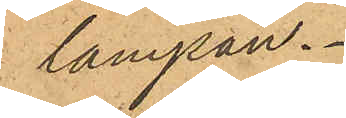lampan.
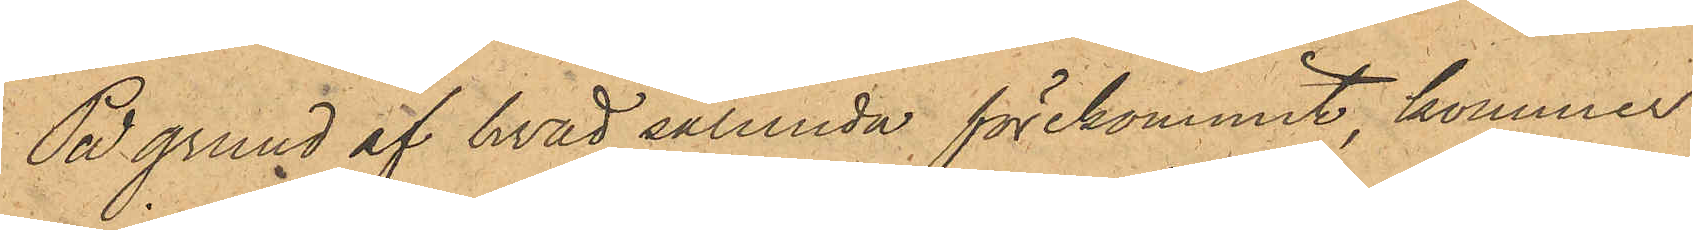På grund af hvad sålunda förekommit, kommer
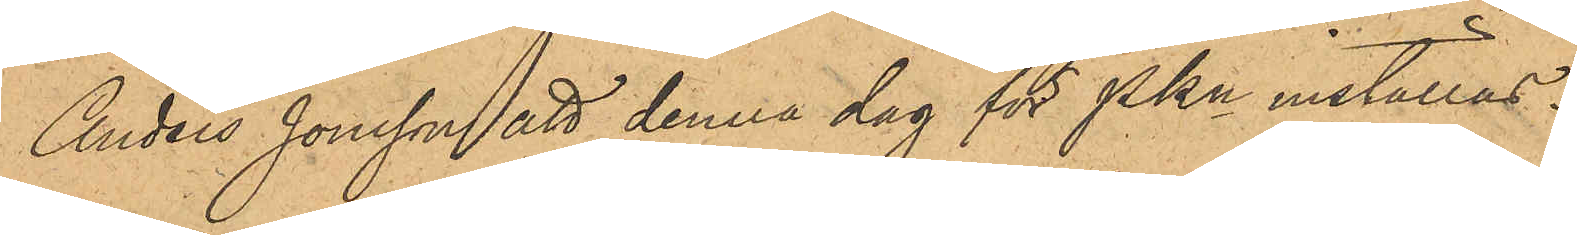Anders Jonsson att denna dag för PKn inställas.
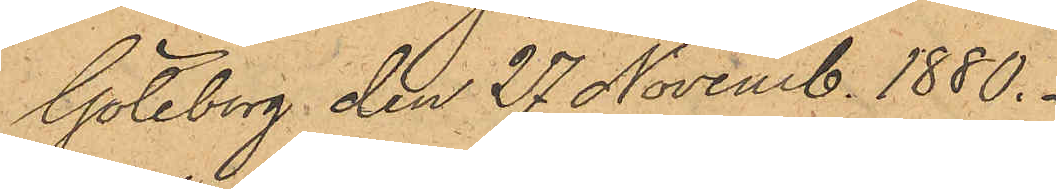Göteborg den 27 Novemb. 1880.
